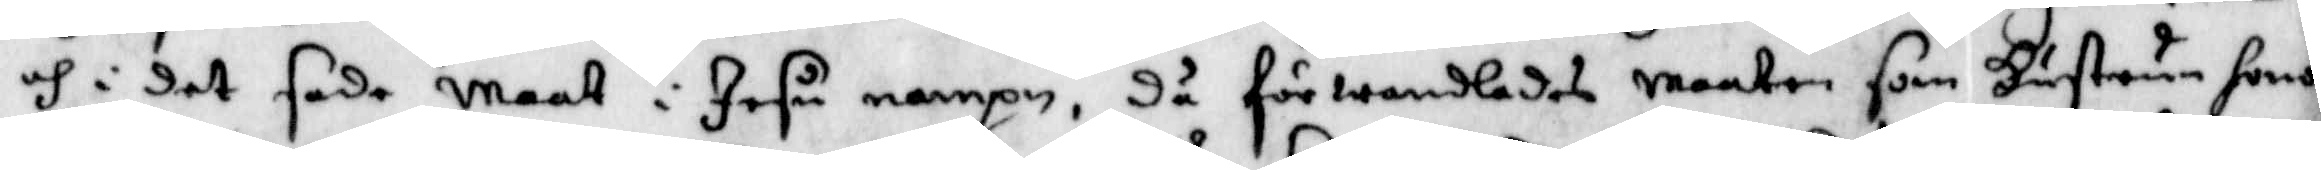och i det sade Maat i Jesu nampn, då förwandlades maaten som Hustrun honom
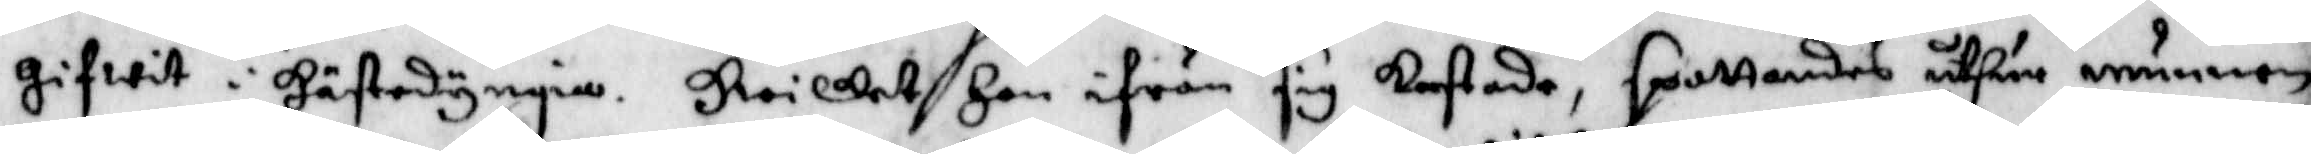gifwit i hästedyngia. hwilket Han ifrån sig kastade, spottandes uthur munnen
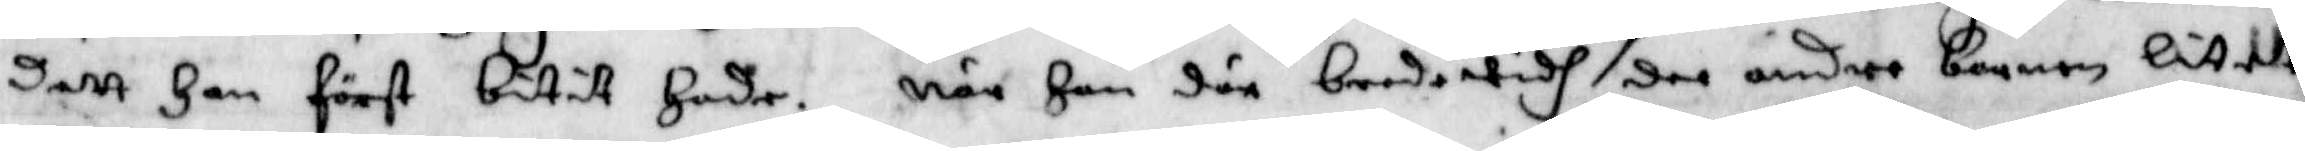dett Han först bitit Hade. när Han där bredwidh dee andre barnen litett
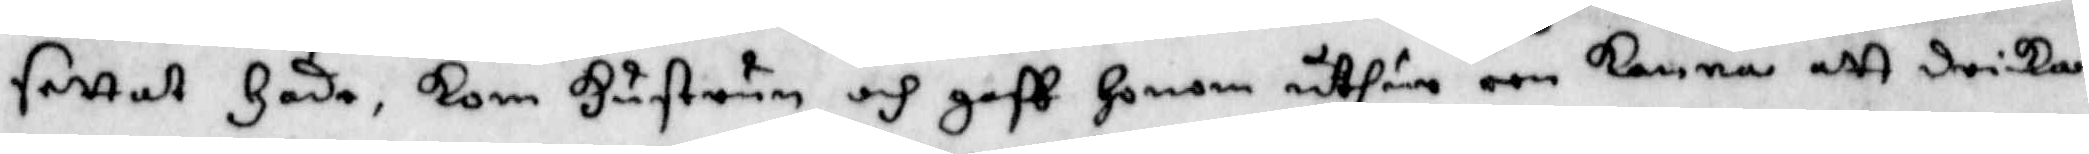fattat Hade, kom Hustrun och gaff Honom uthir een kanna att dricka.
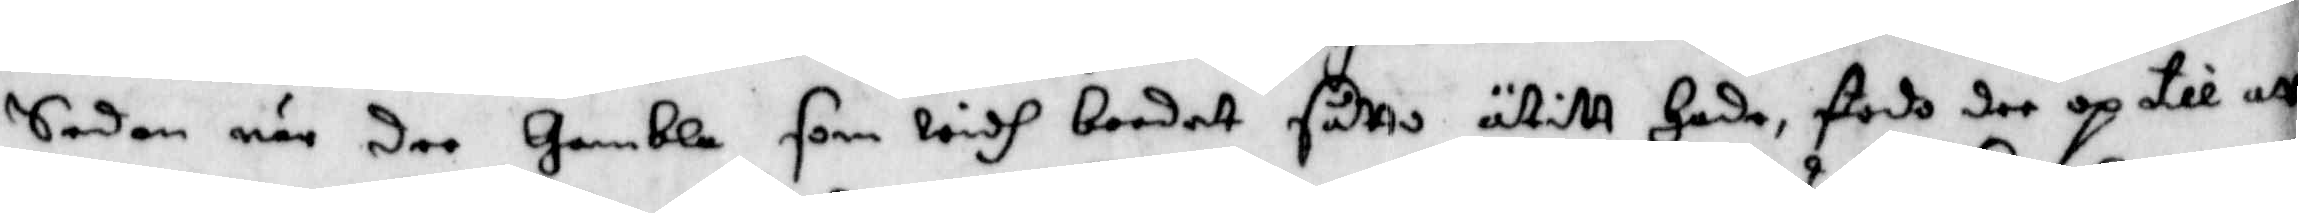Sedan när dee Gamble som widh bordet såtts ätitt Hade, stodo dee op till att
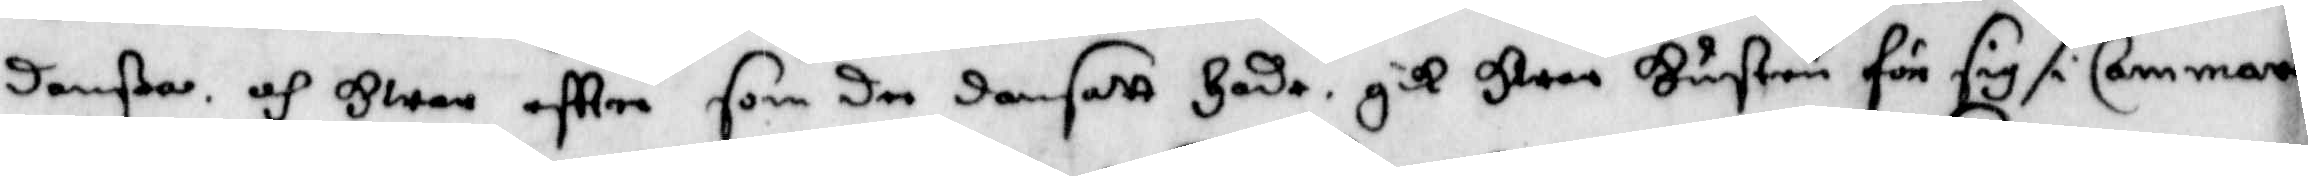danßa och Hwem eftter som de dansatt Hade, gik Hwar Hustru för sig i Cammaren
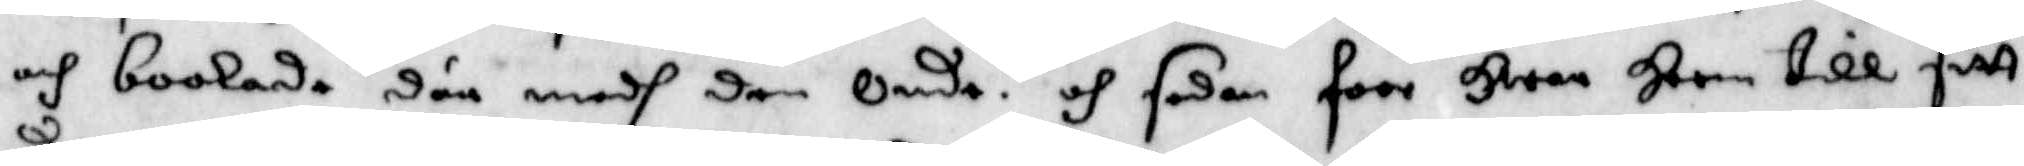och boolade där medh den Onde och sedan foor Hwar Heem till sitt.
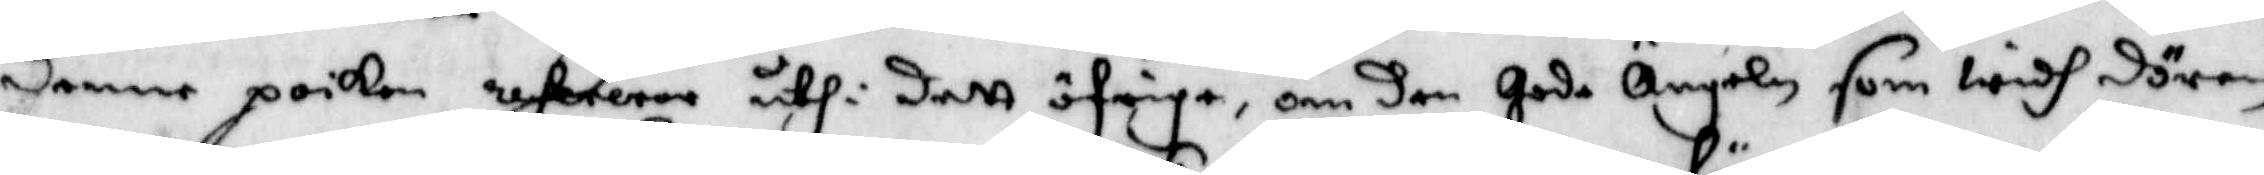denne poiken uhrerar uthi dett öfrige, om den Gode Ängeln som widh dören
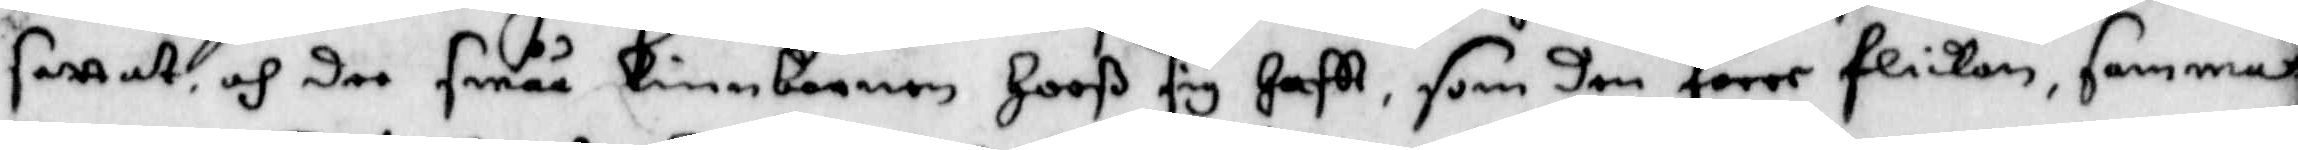settat, och dee småå Linnbarnen Hooß sig haftt, som den förre flickan, samma¬
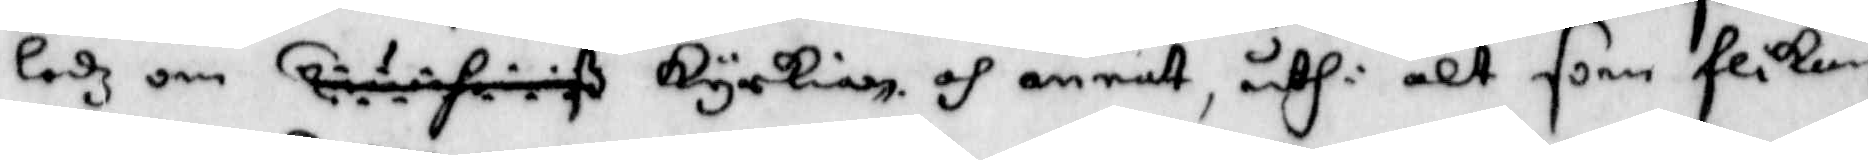ledz om kyrkian, och annatt, uthi alt som flikan
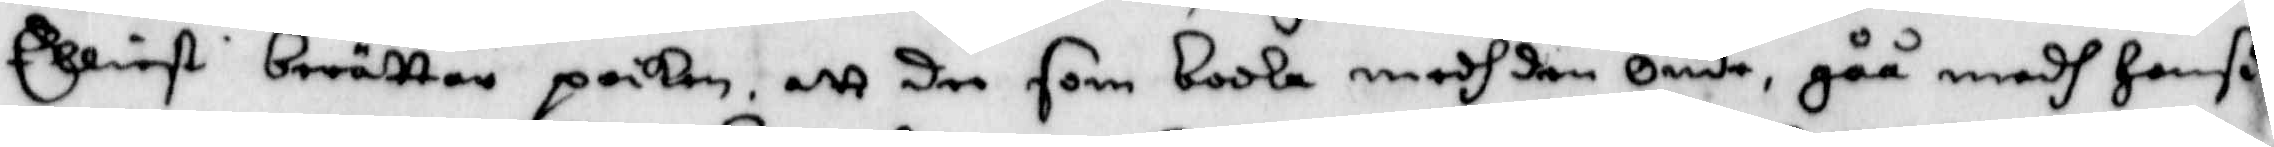Elliest berättar poiken, att dee som boola medh den Onde, gåå medh Hanß
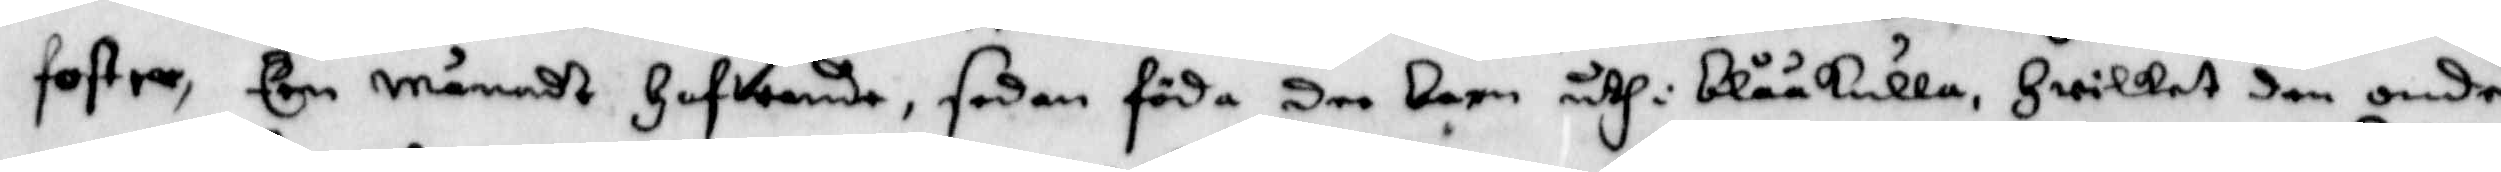foster, Een månadt Hafwande, sedan föda dee barn uthi blåkulla, Hwilket den onde
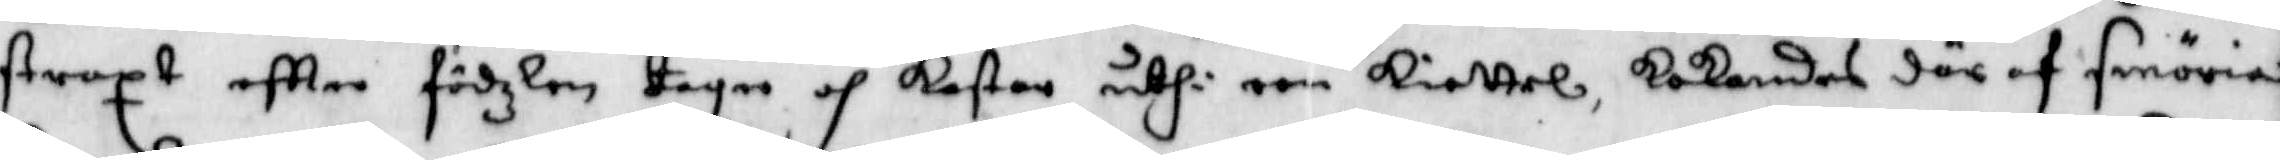straxt eftter födzlen tager och kastar uthi een kiettel, kokandes där af smöria
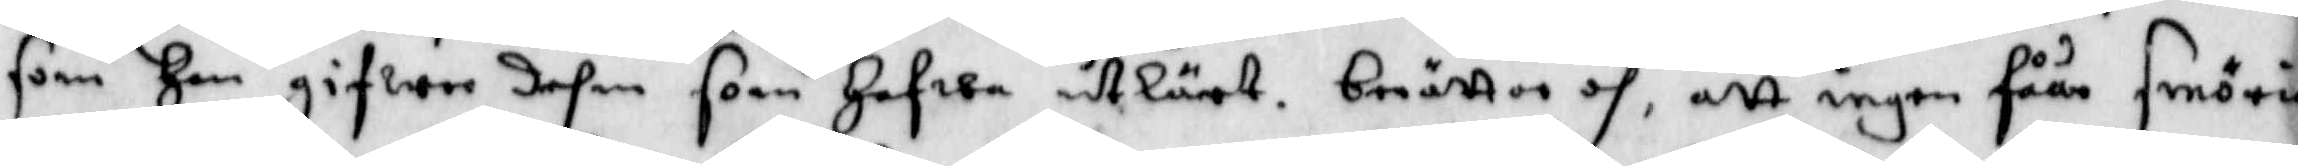som Han gifwer dehm som hafwa utlärt. berättar och, att ingen fåår smöria
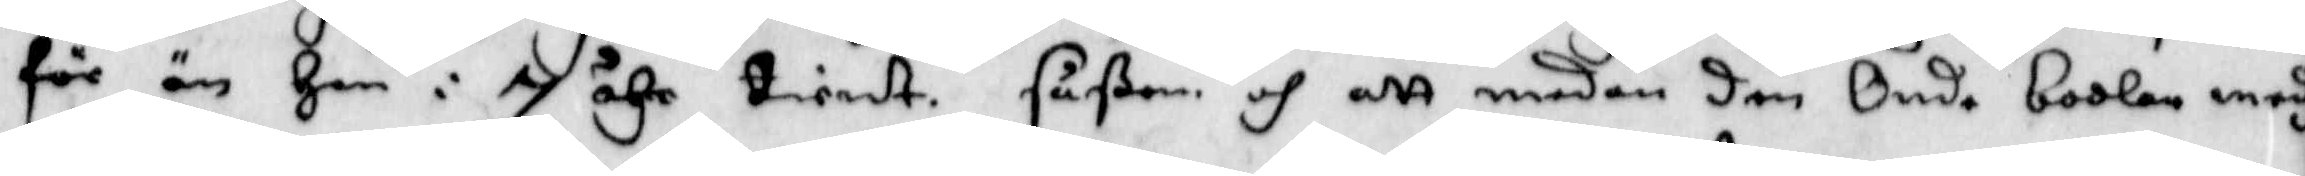för än Han i 7 åhr tiendt. såßom och att medan den Onde boolar medh
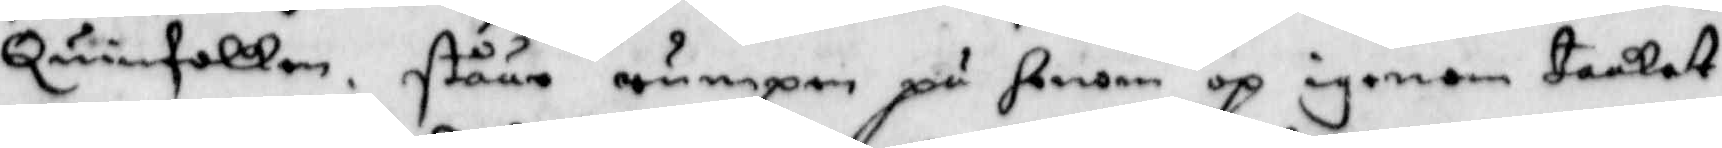Ouinnfolken, ståår rumpan på honom op igenom taaket.
